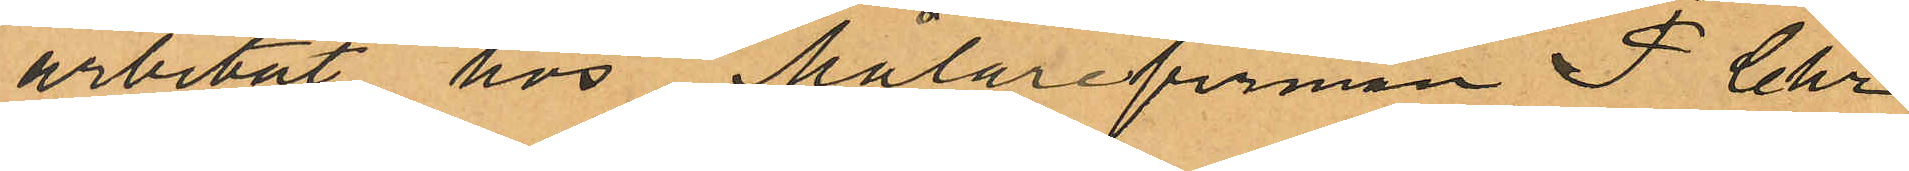arbetat hos Målarefirman F. Chr
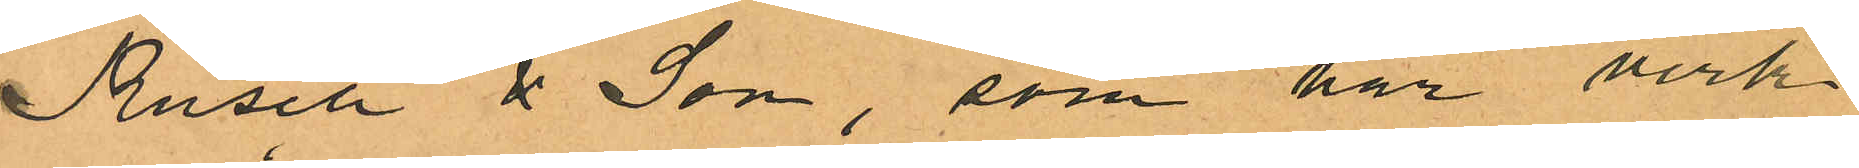Rusch & Son, som har verk¬
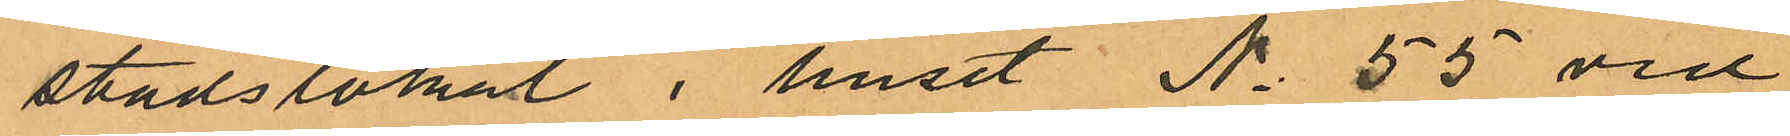stadslokal i huset No 55 vid
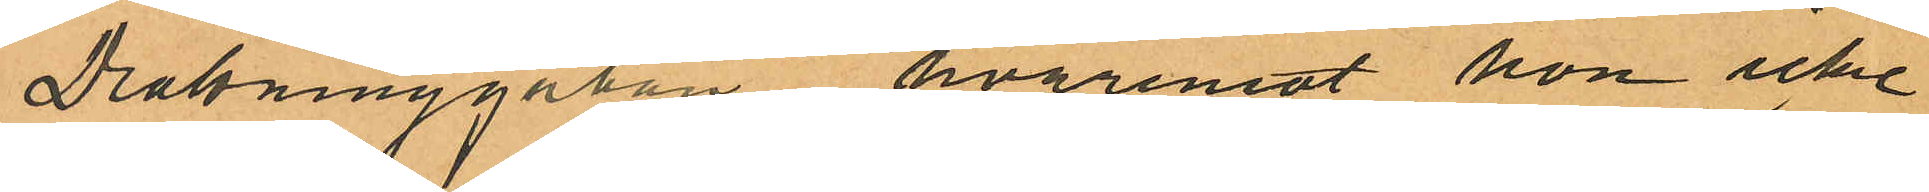Drottninggatan hvaremot hon icke
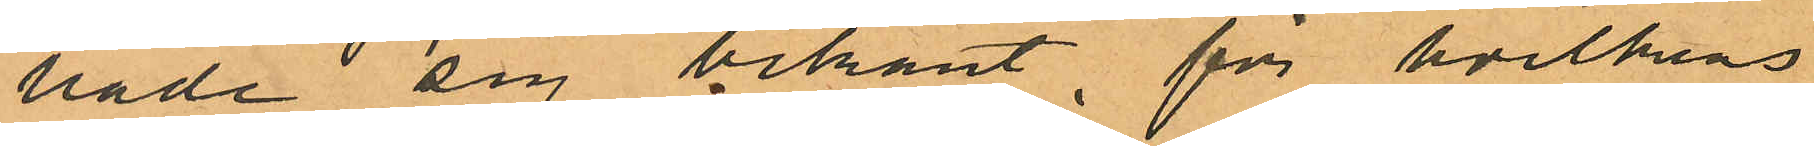hade sig bekant, för hvilkens
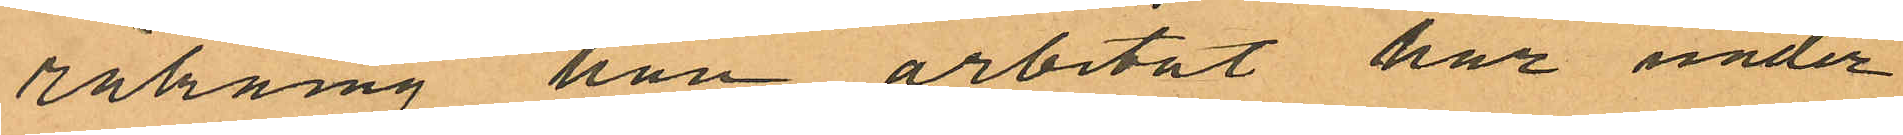räkning han arbetat har under
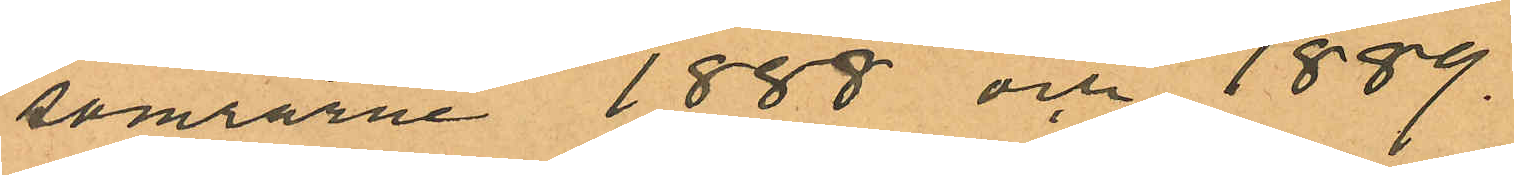somrarne 1888 och 1889.
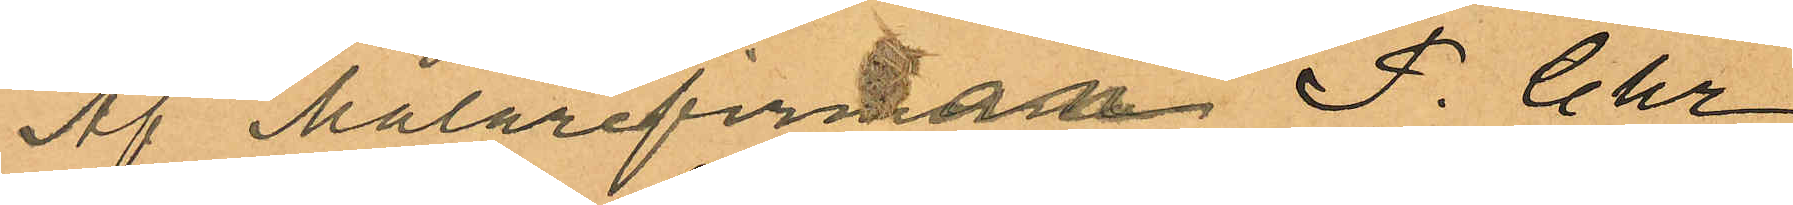Af Målarefirman F. Chr
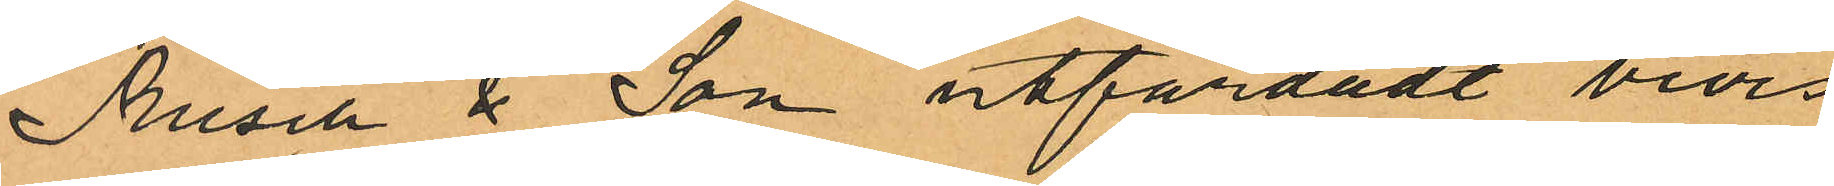Rusch & Son utfärdadt bevis
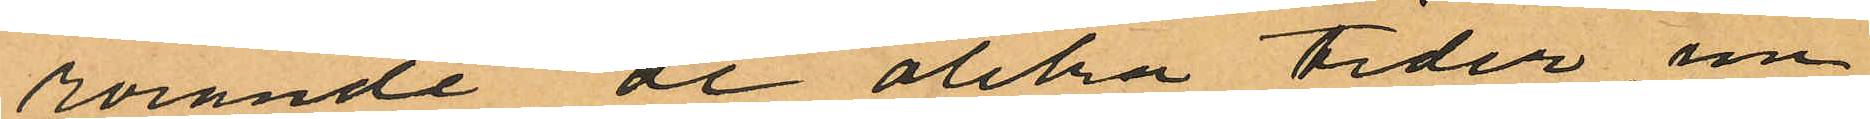rörande de olika tider, un¬
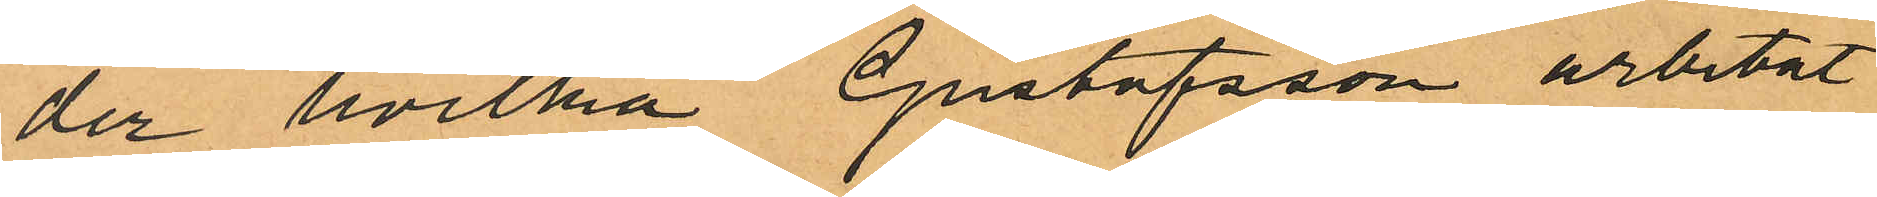der hvilka Gustafsson arbetat
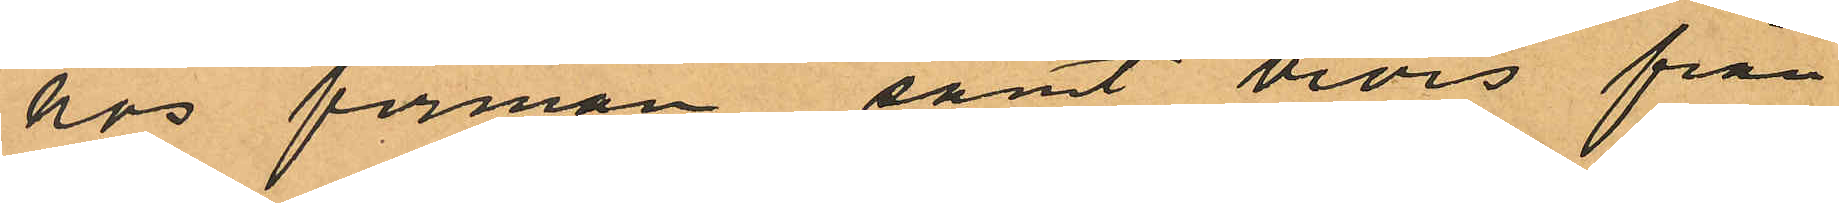hos firman samt bevis från
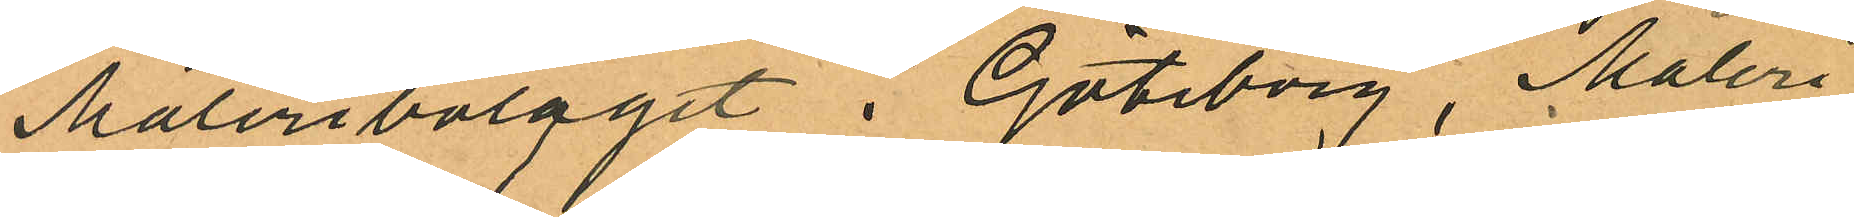Måleribolaget i Göteborg, Måleri
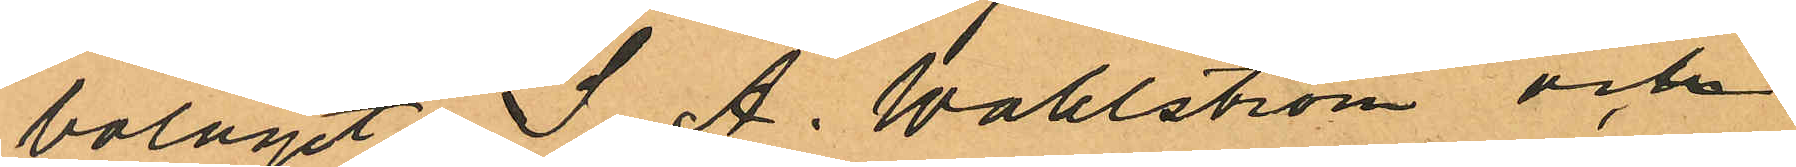bolaget S. A. Wahlström och
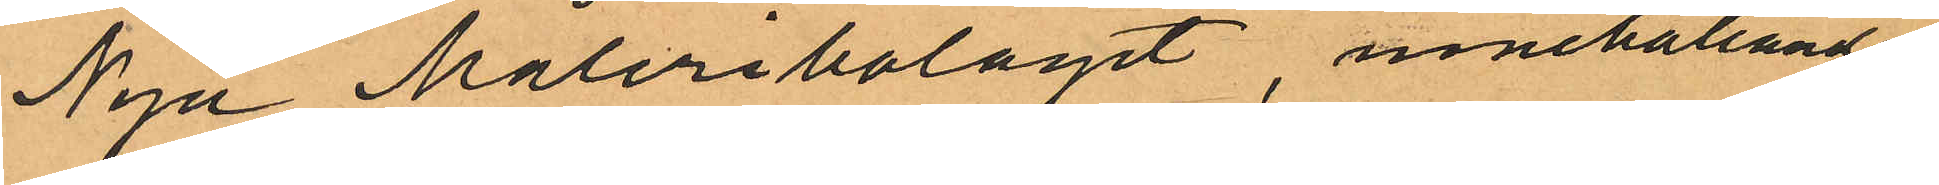Nya Måleribolaget, innehållande
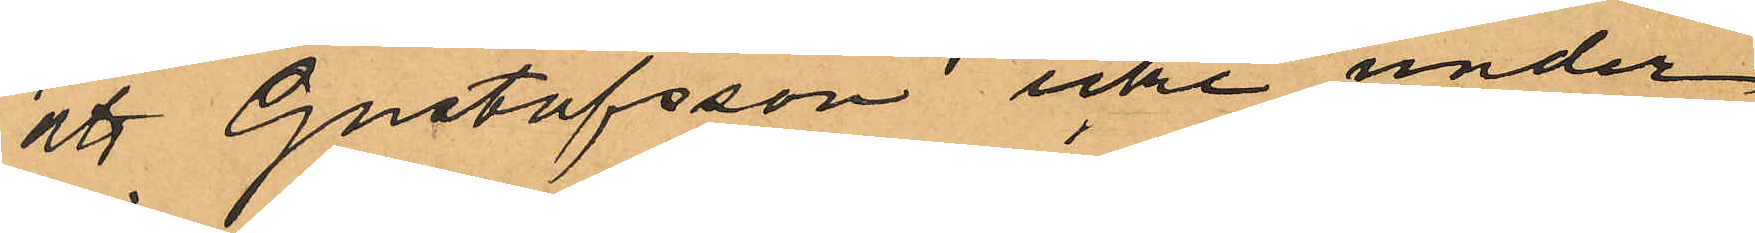att Gustafsson icke under
